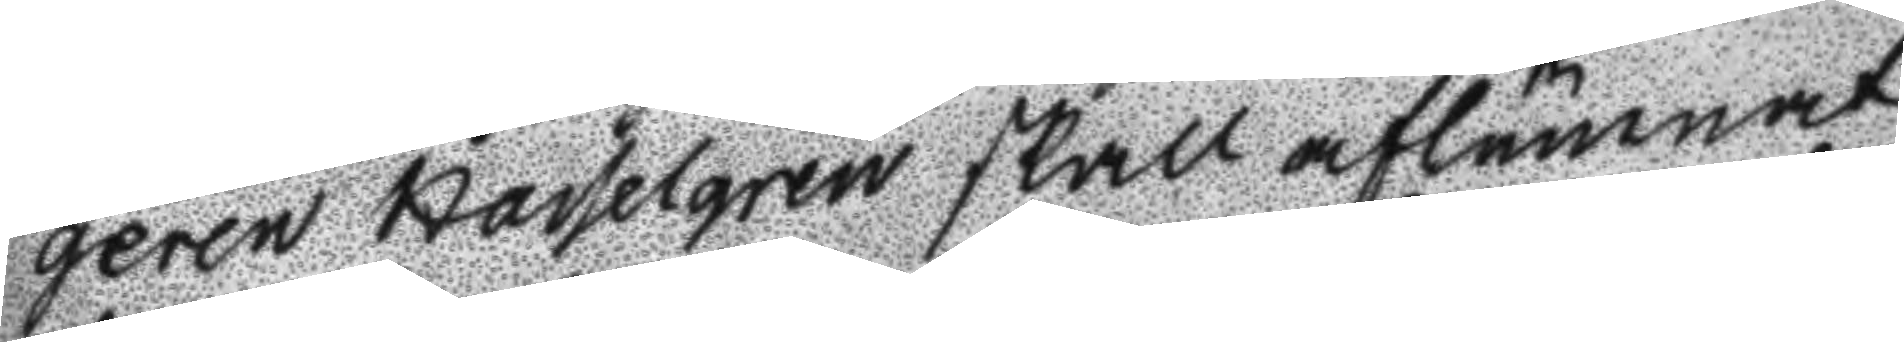geren Hasselgren skall aflämnat
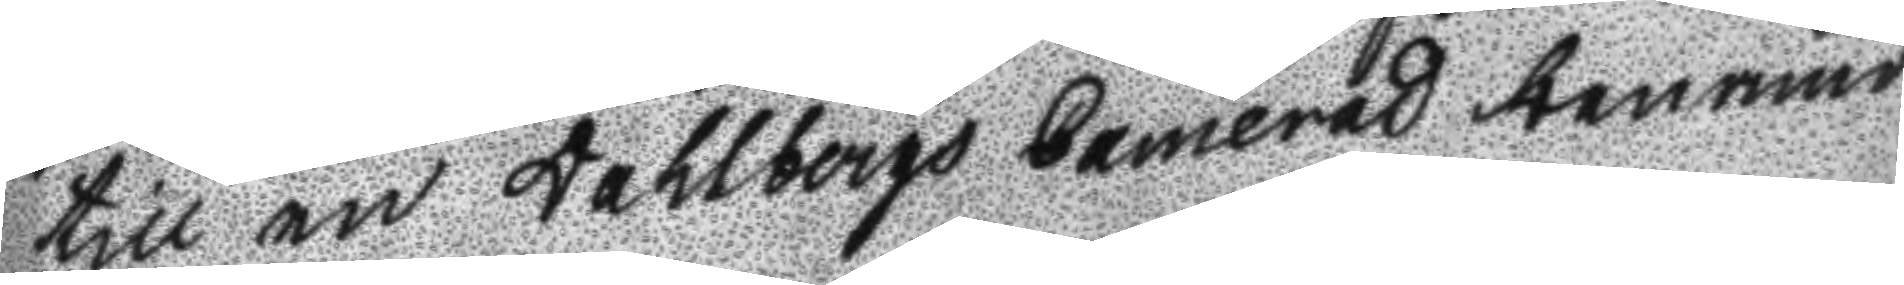till en Dahlbergs Camerad benämd
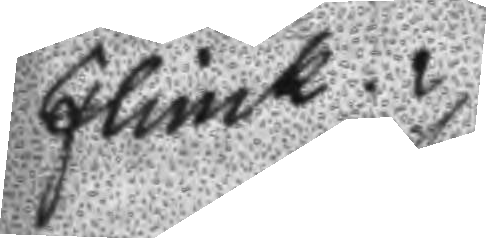Flinck.
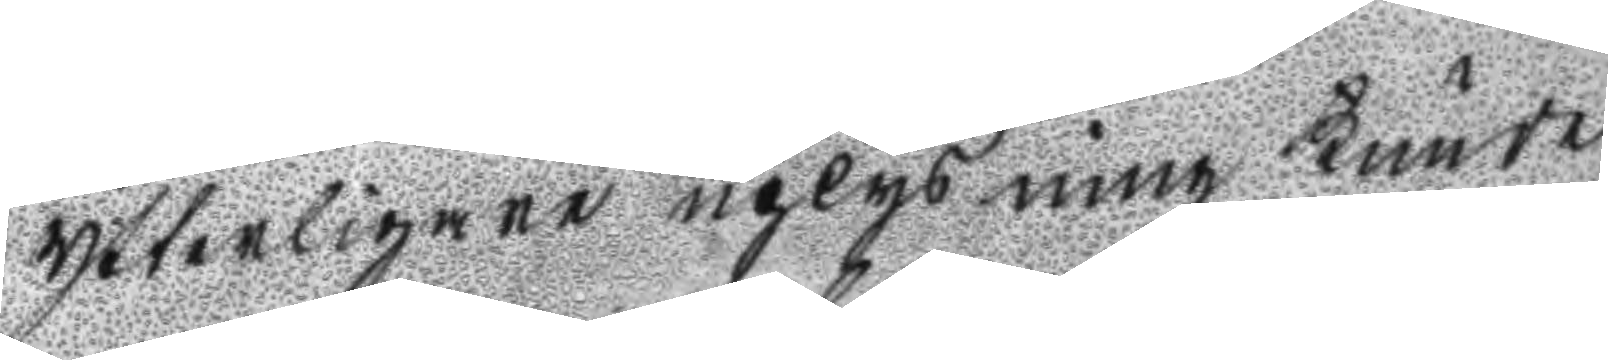Ytterligare uplysning kunde
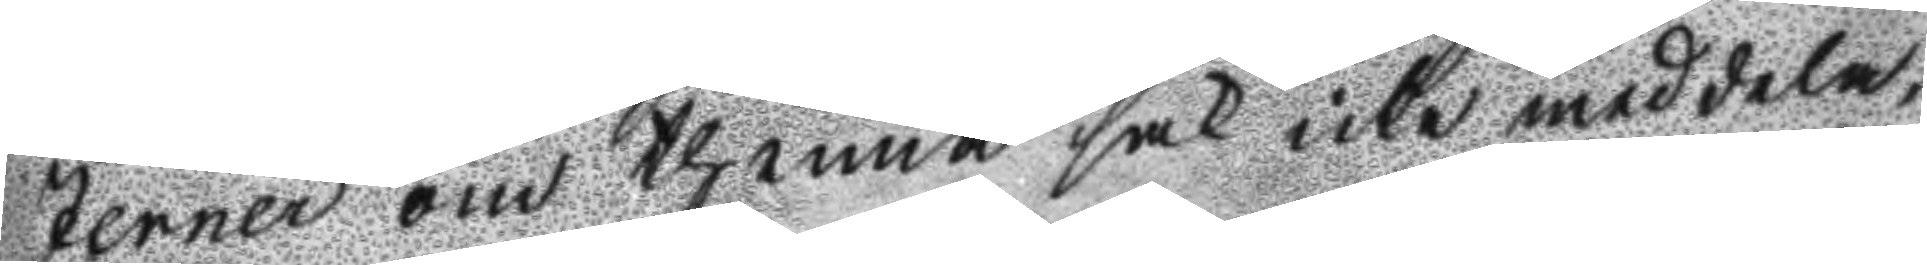Jerner om thenna sak icke meddela,
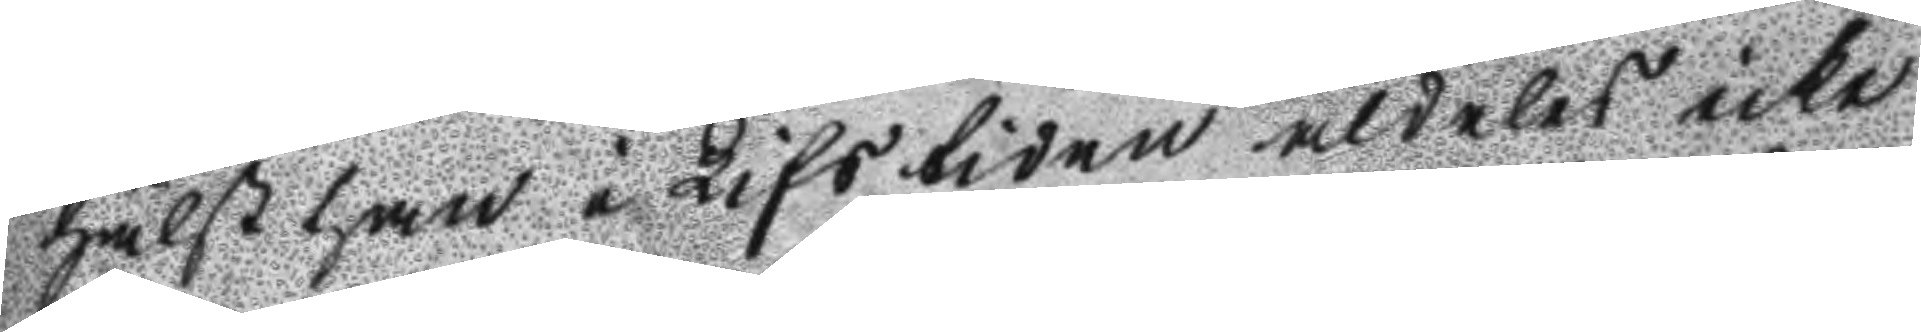hälst han i Lifstiden aldeles icke
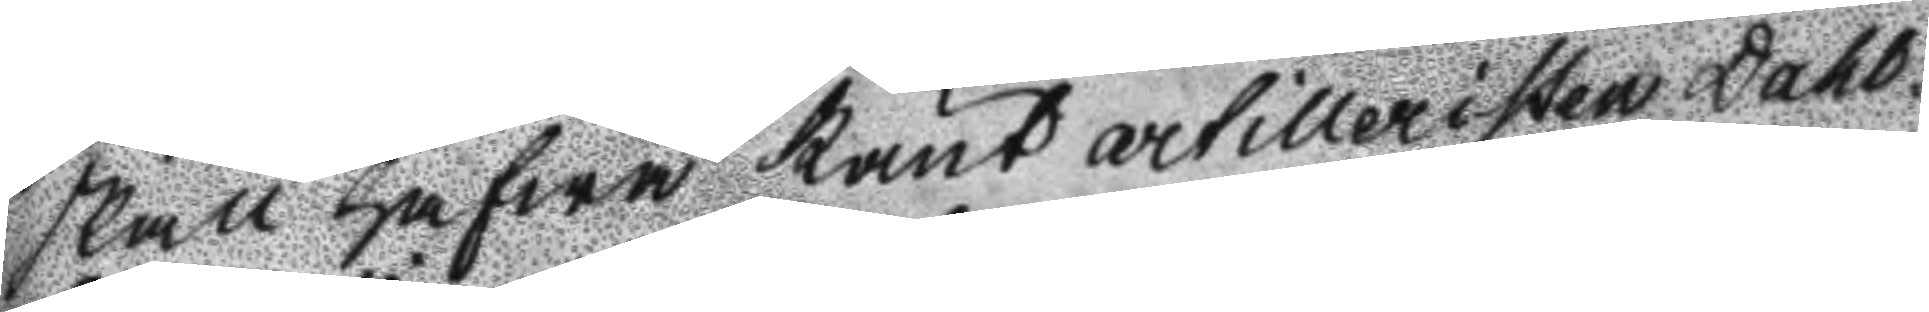skall hafwa känt artilleristen Dahl¬
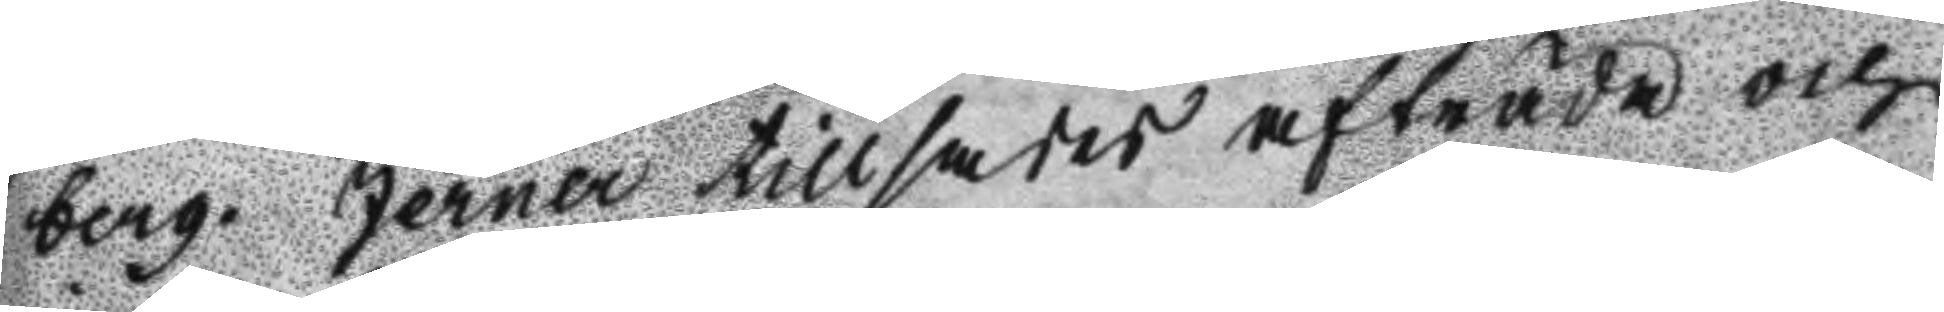berg. Jerner tillsades afträda och
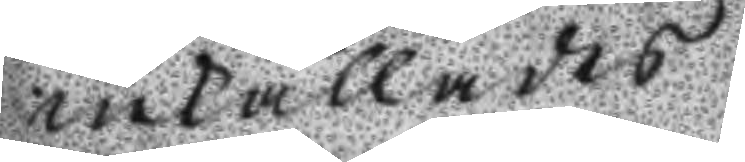inkallades
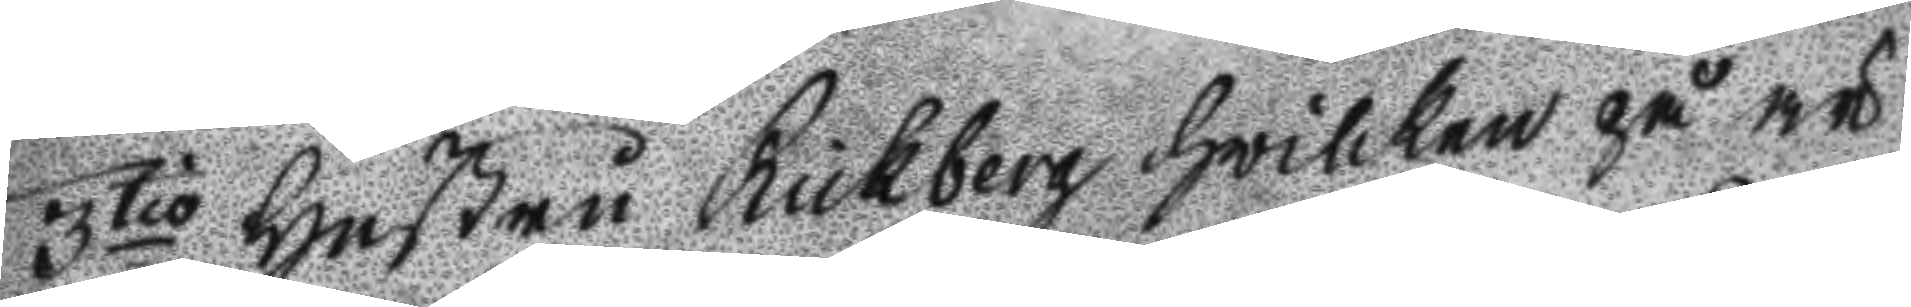3tio Hustru Rickberg hwilken på är
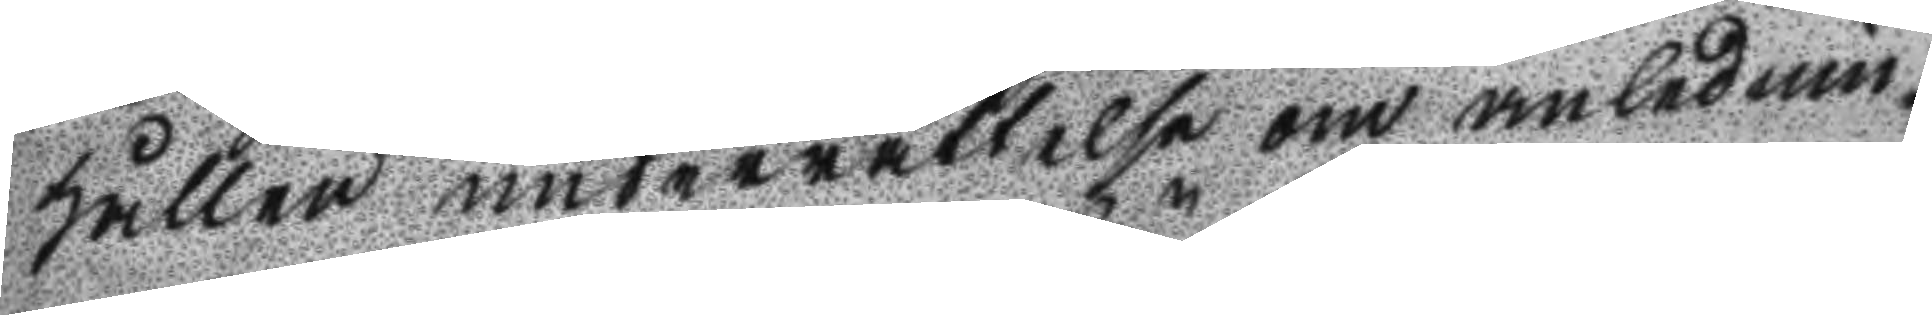hållen underrättelse om anlednin¬
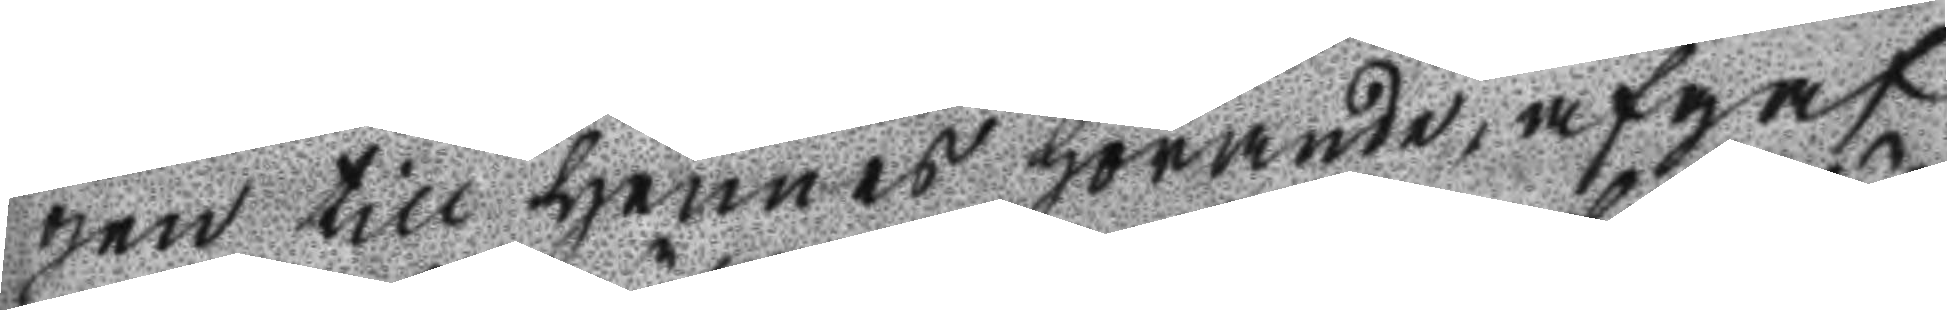gen till hennes hörande, afgaf
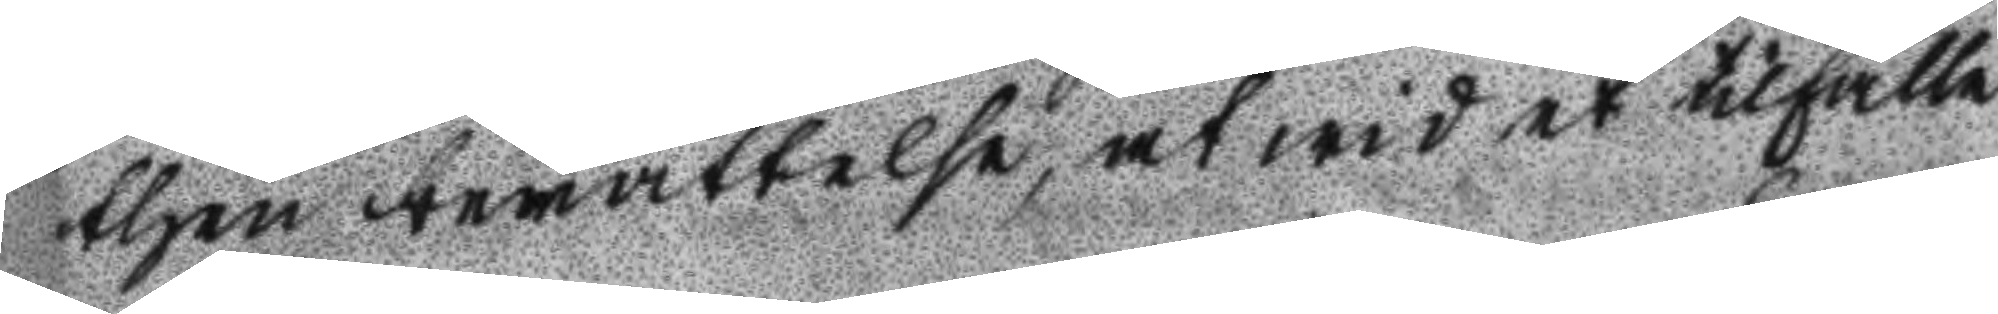then berättelse, at wid et tilfälle
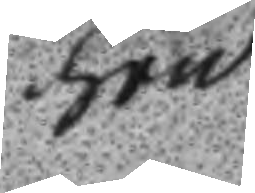hon
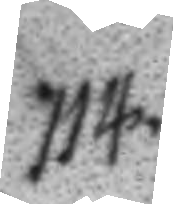114.
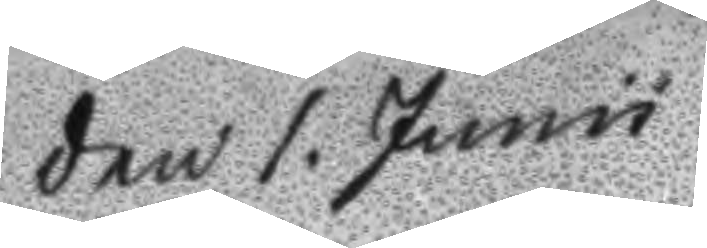Den 1. Junii
